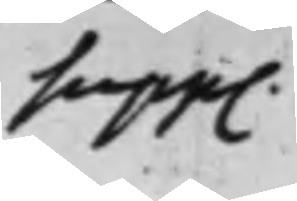supp.
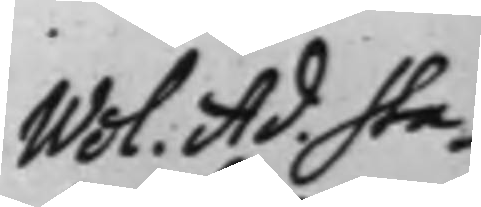Wol. Ad. Sta¬
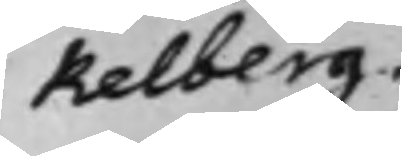kelberg
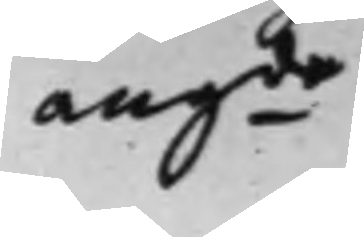angde
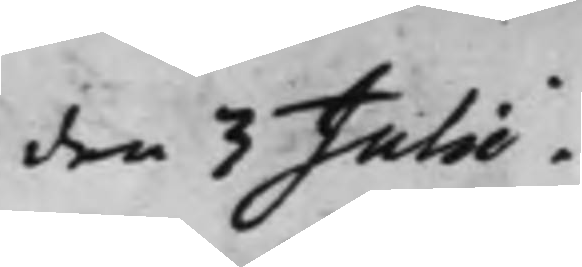den 3 Julii.
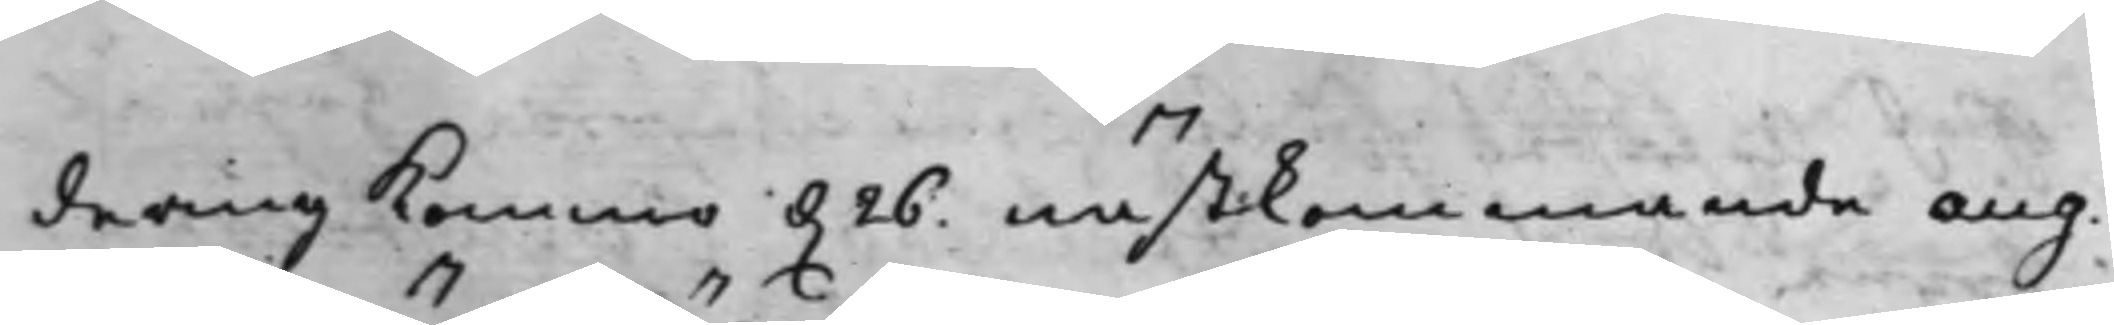dering kommo d. 26 nästkommande aug.
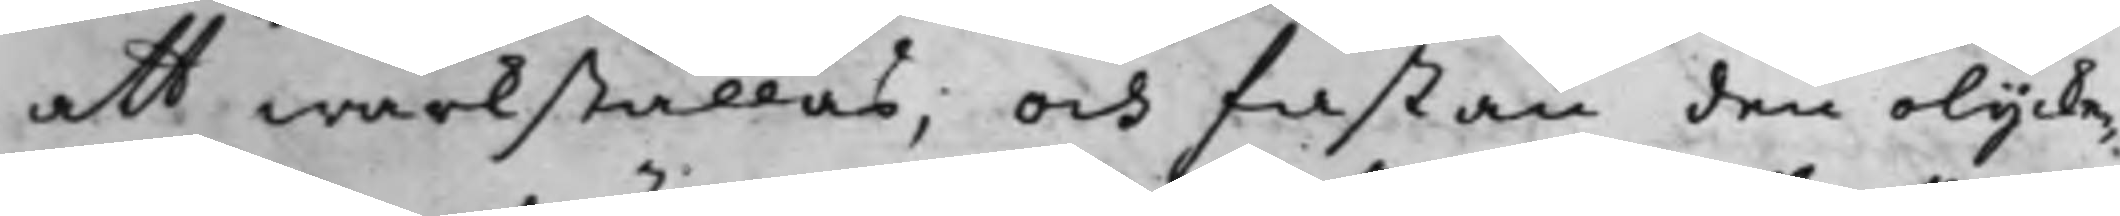att wärkställas; och fastän den olycke¬
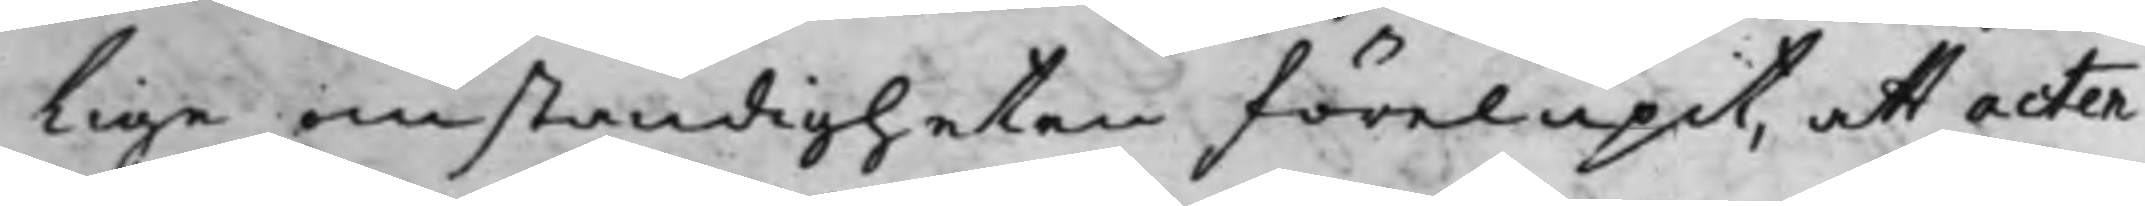lige omständigheten förelupit, att acten
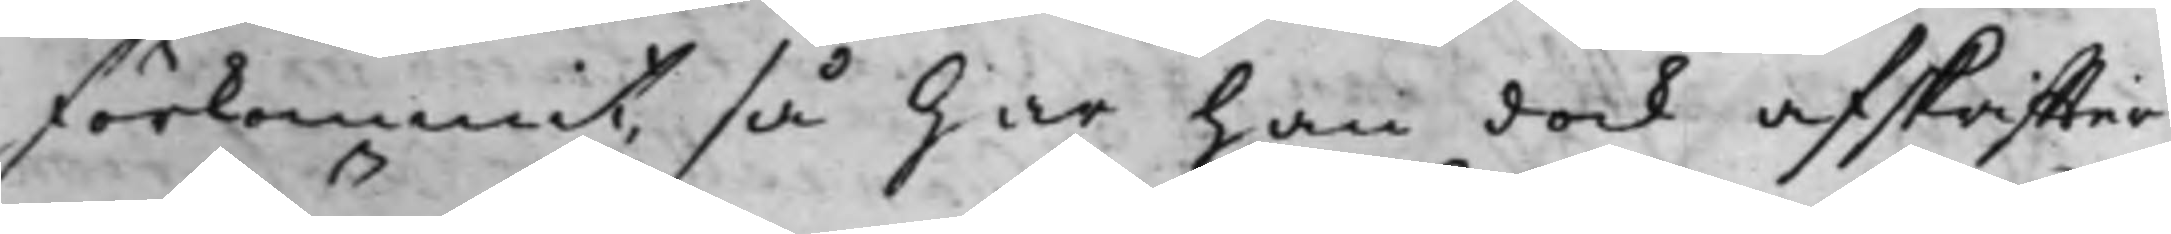förkommit, så har han dock afskriffter
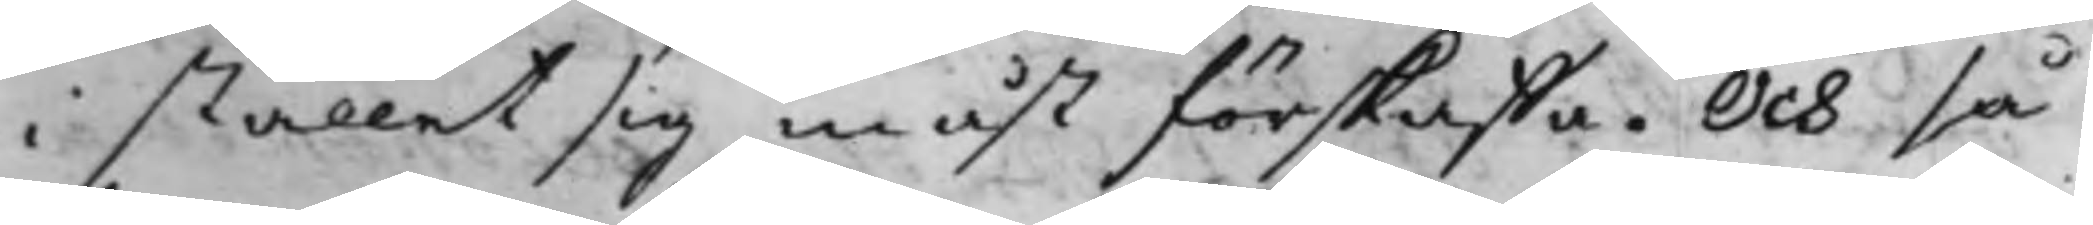i stället sig måst förskaffa. Och så
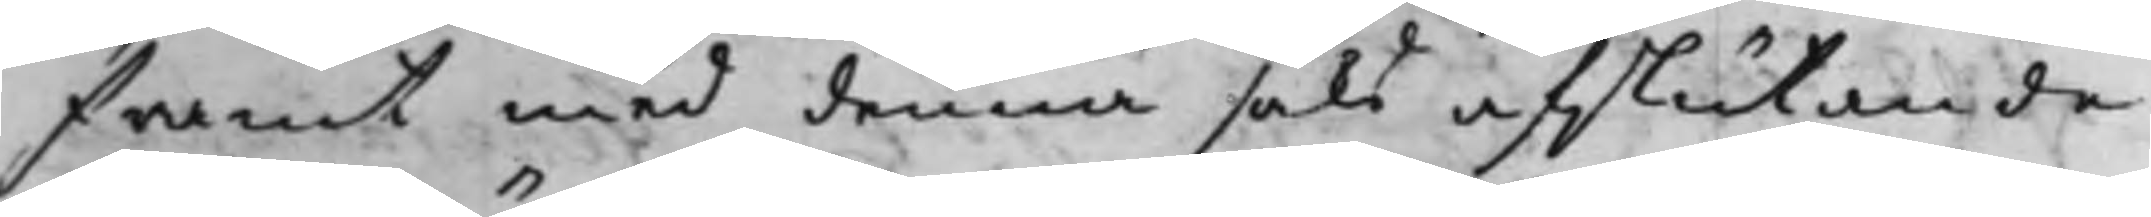framt med denna saks afslutande
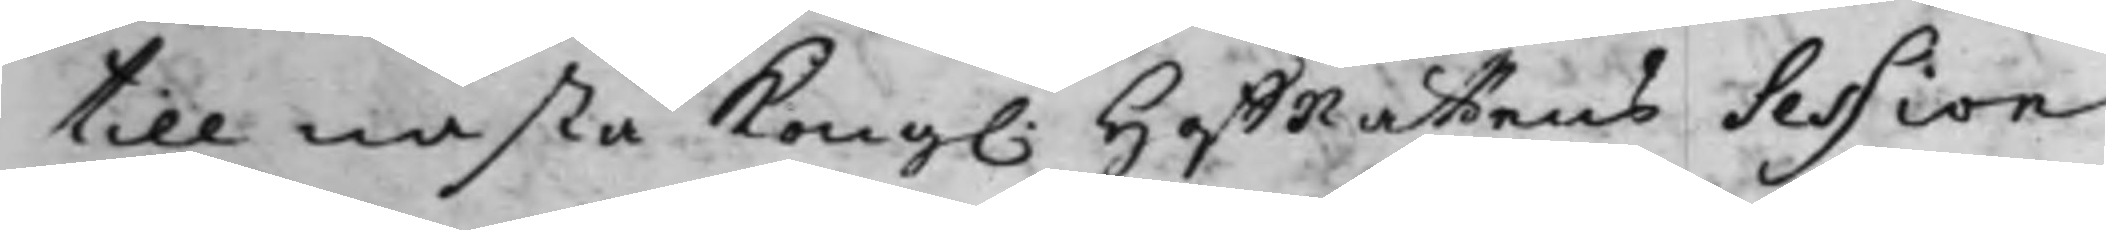till nästa Kong. HoffRättens Session
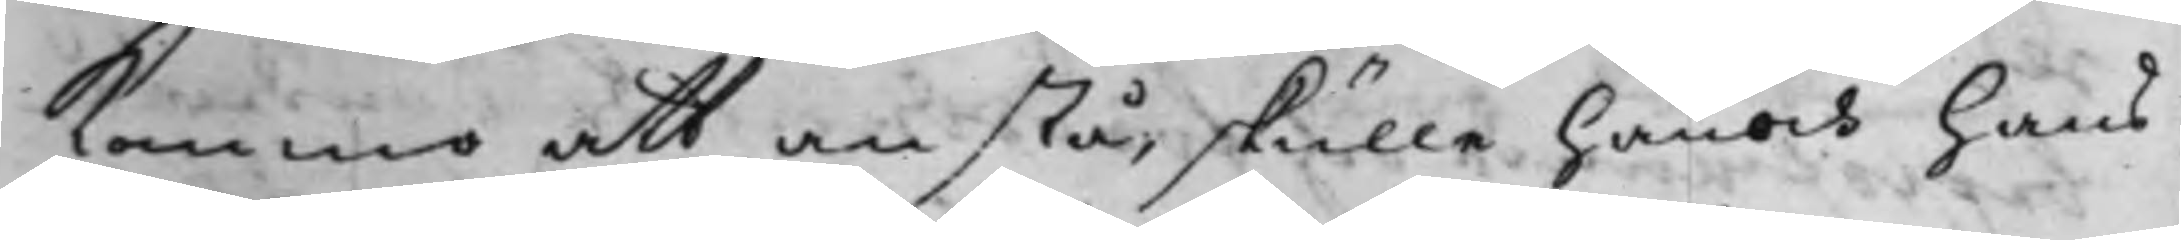kommo att anstå, skulle han och hans
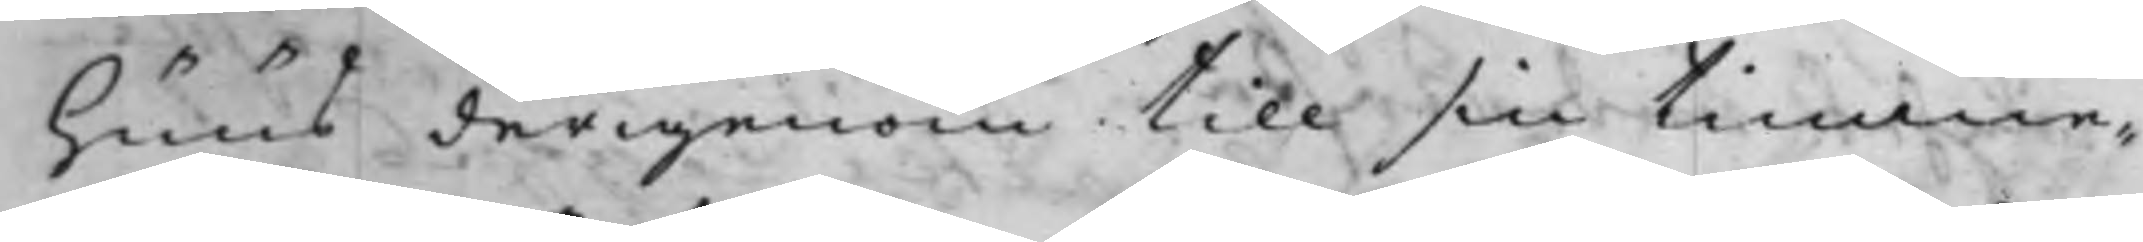huus derigenom till sin timme¬
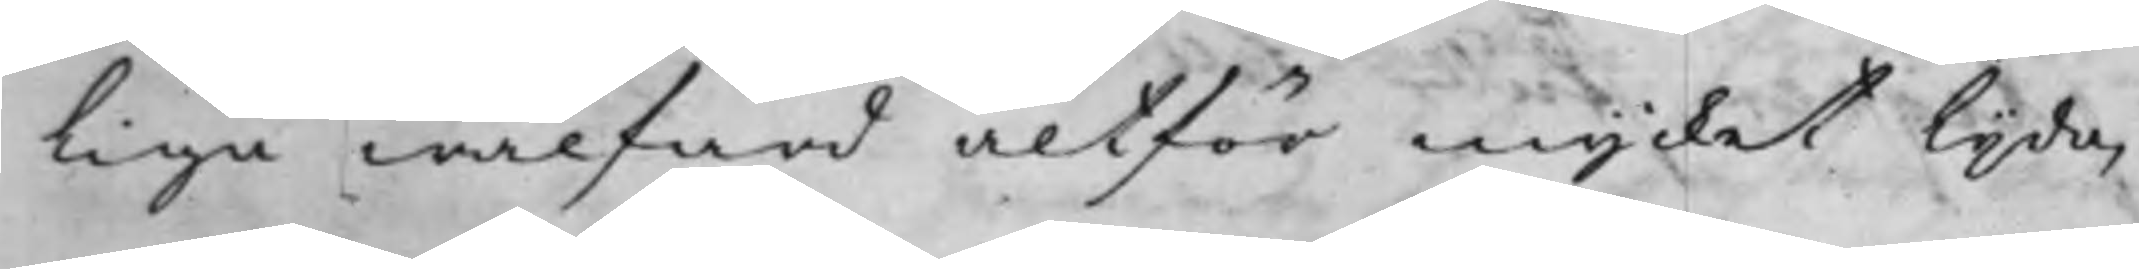liga wälfärd altför mycket lijda,
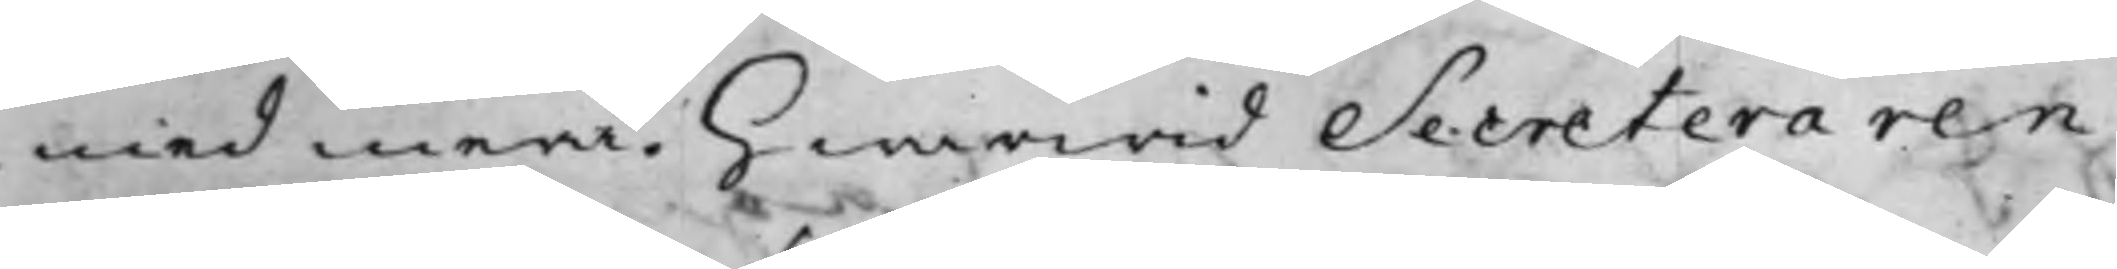med mera. Hwarwid Secreteraren
